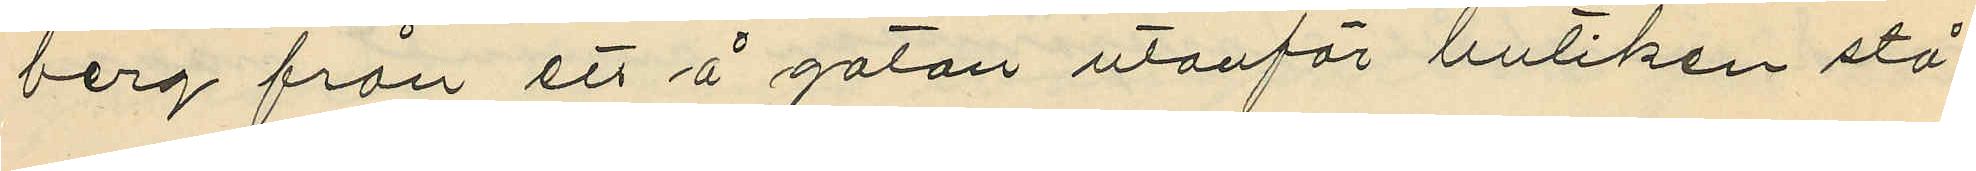berg från ett å gatan utanför butiken stå¬
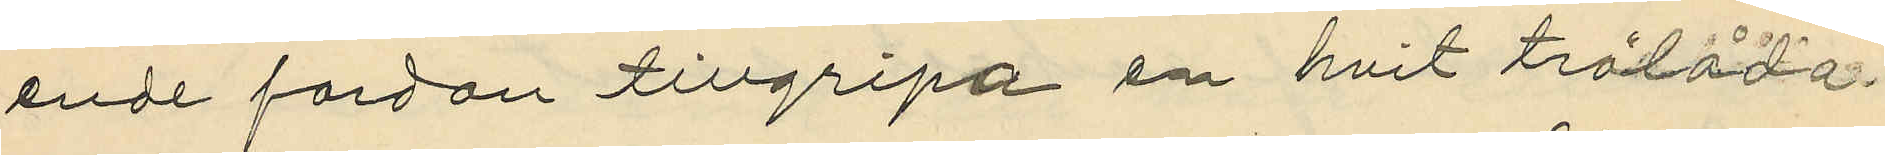ende fordan tillgripa en hvit trälåda
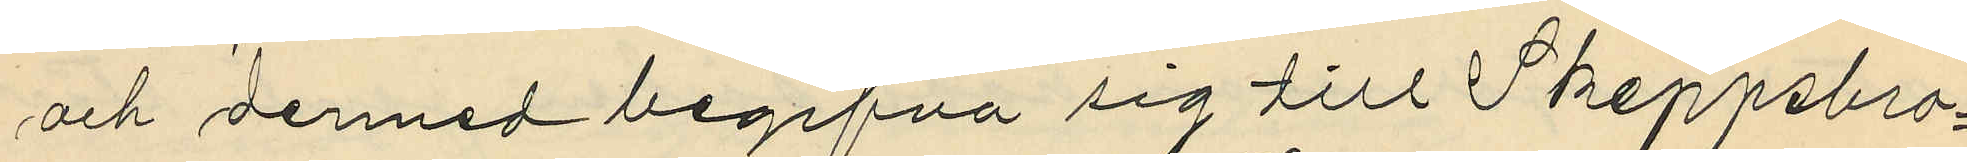och dermed begifna sig till Skeppsbro¬
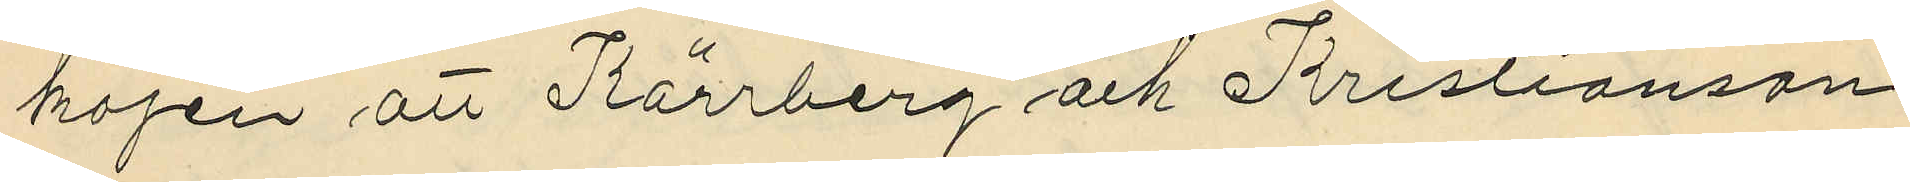kajen att Kärrberg och Kristianson
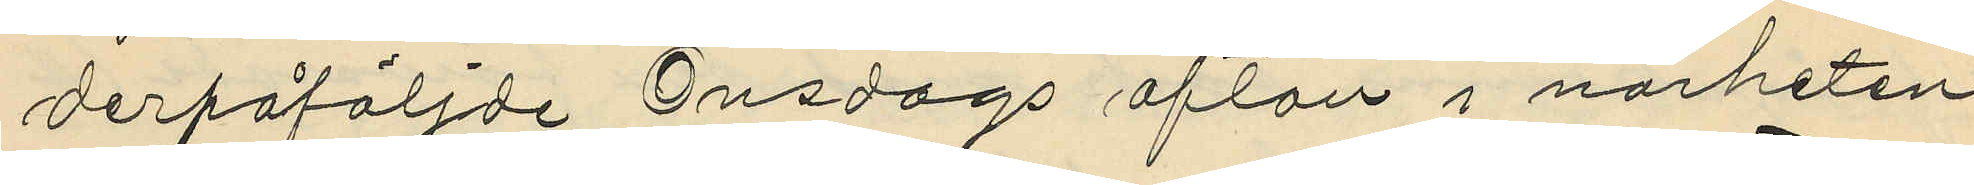derpåföljde Onsdags afton i närheten
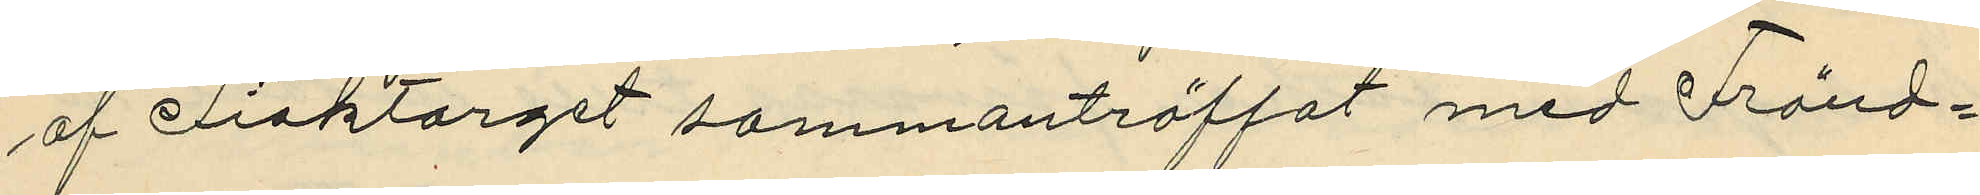af Fisktorget sammanträffat med Fränd¬
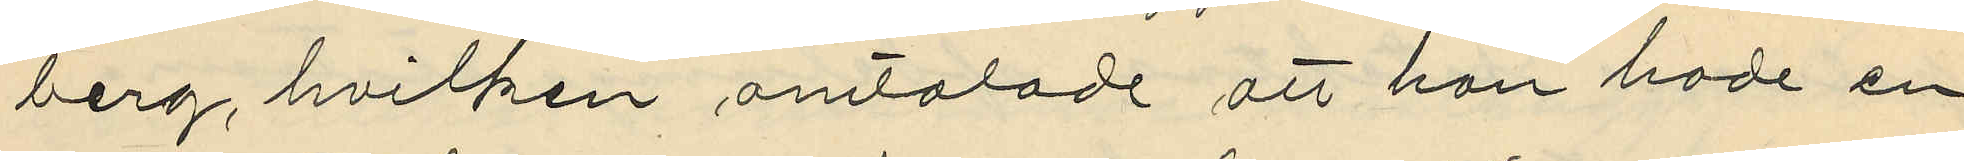berg, hvilken omtaladt att han hade en
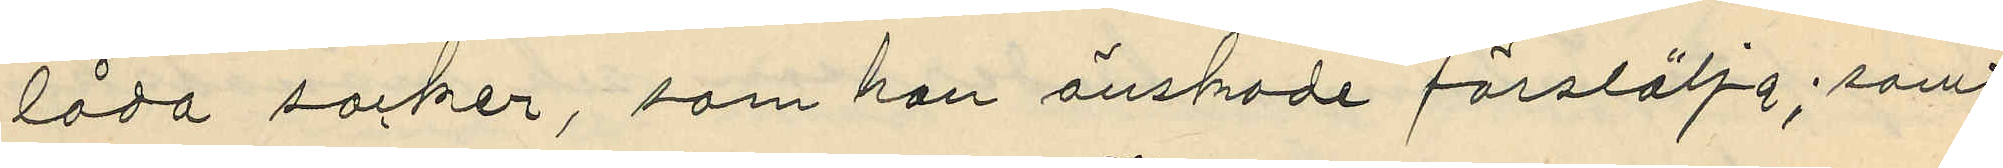låda socker, som han önskade försälja; samt
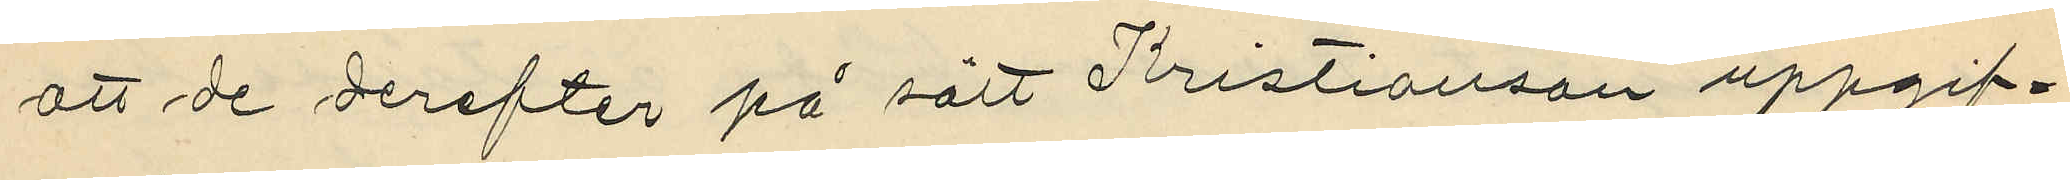att de derefter på sätt Kristianson uppgif¬
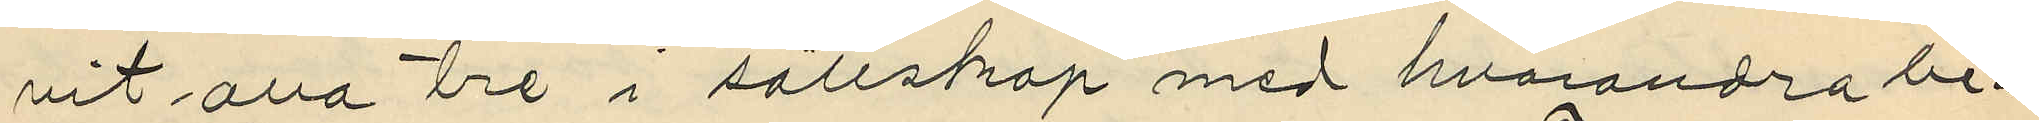vit alla tre i sällskap med hvarandra be¬
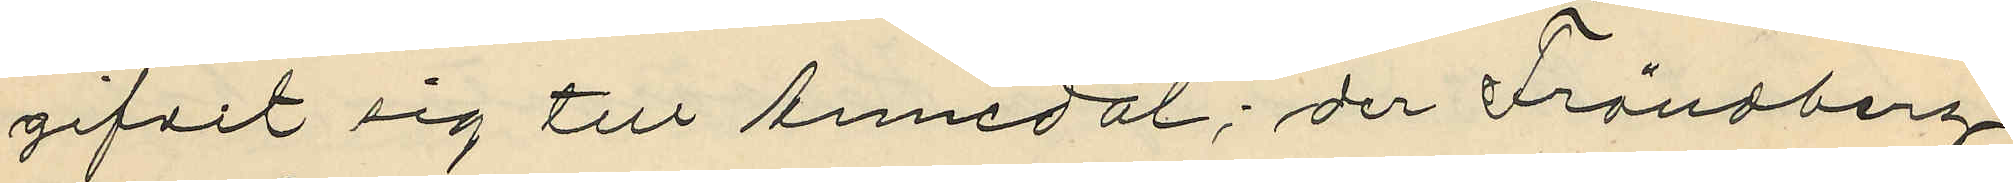gifvit sig till Annedal; der Frändberg
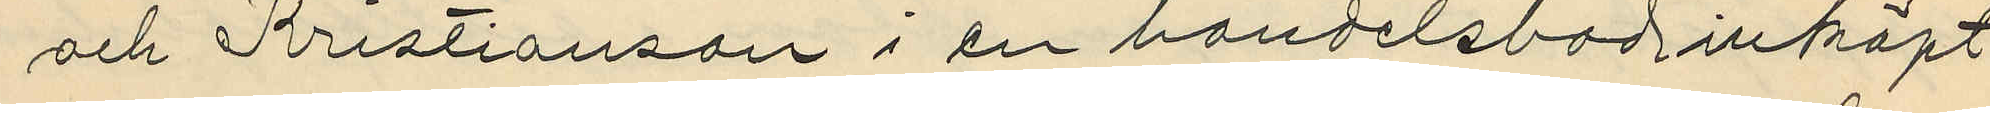och Kristianson i en handelsbod inköpt
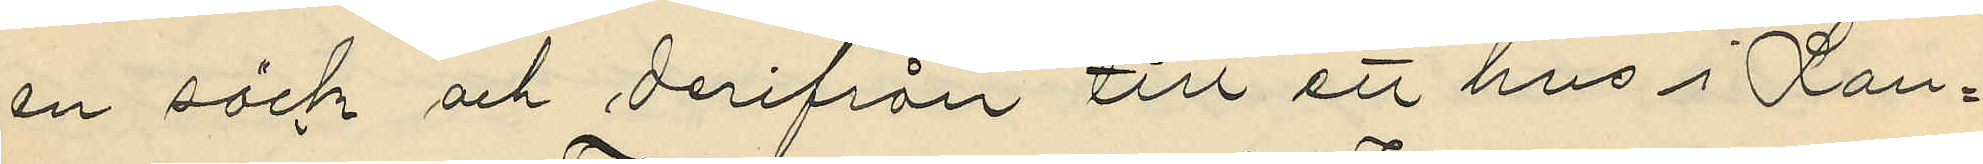en säck och derifrån till ett hus i Lan¬
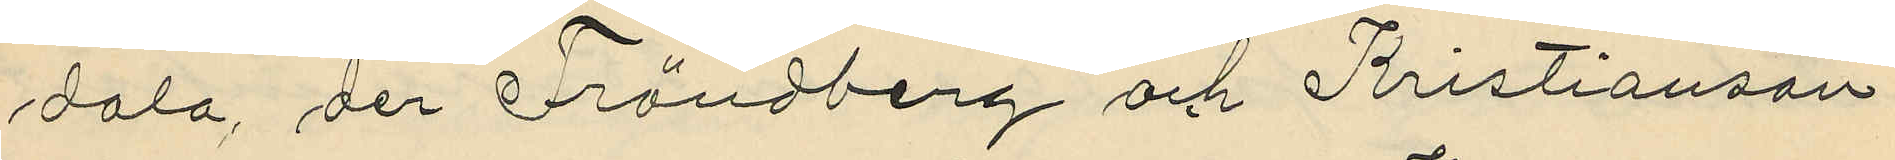dala, der Frändberg och Kristianson
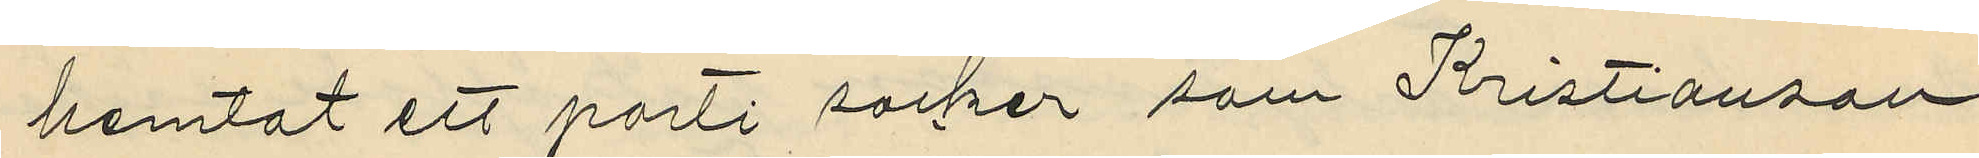hemtat ett parti socker som Kristianson
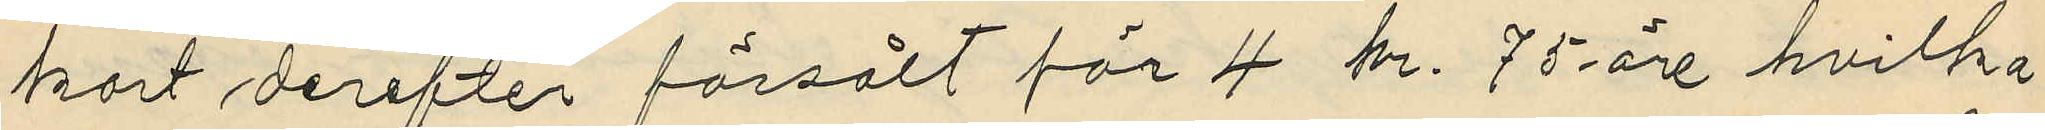kort derefter försålt för 4 kr. 75 öre hvilka
